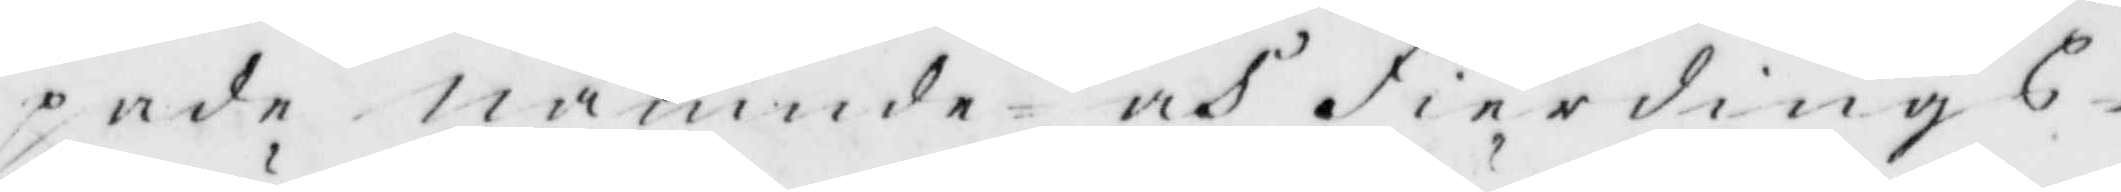pade nämnde och Fierdings¬
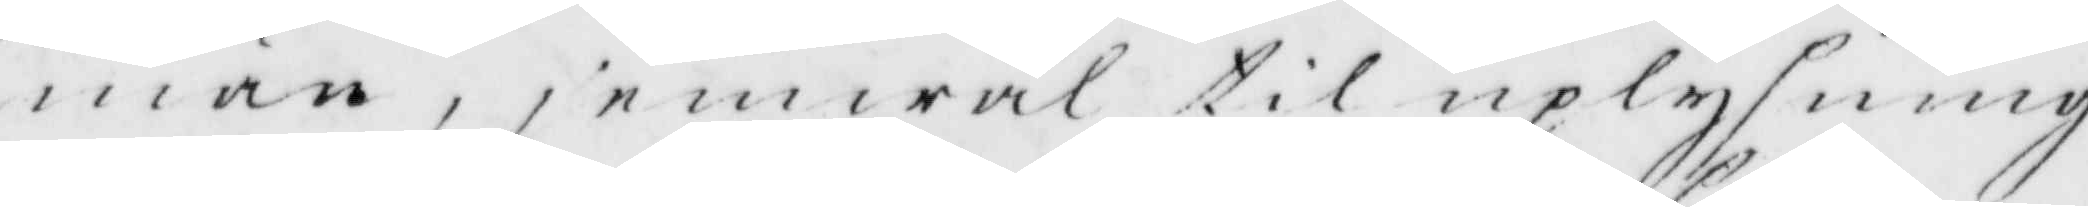män, jemwäl til uplysning
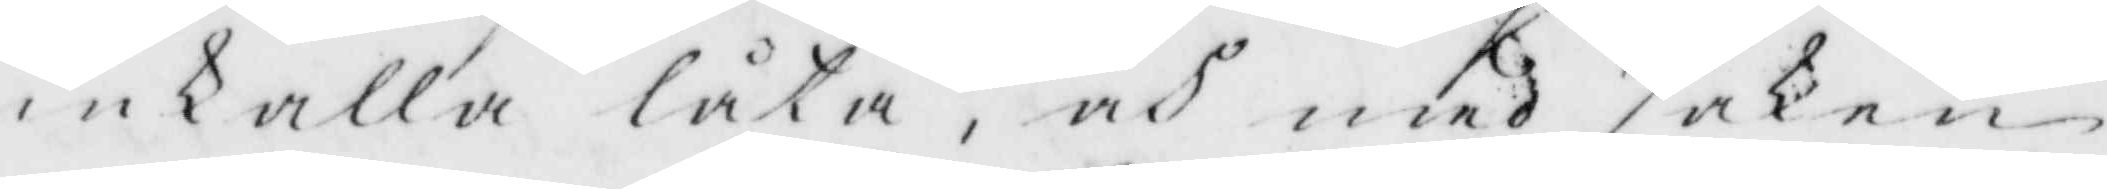inkalla låta, och med saken
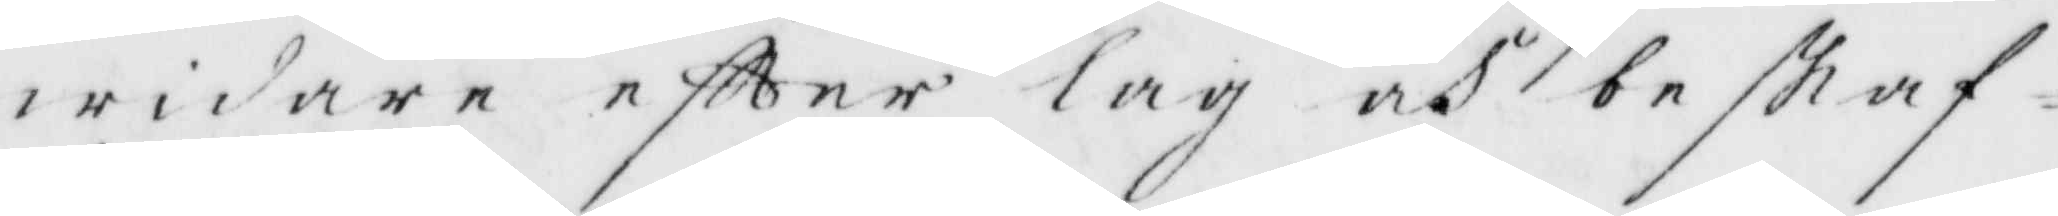widare eftter lag och beskaf¬
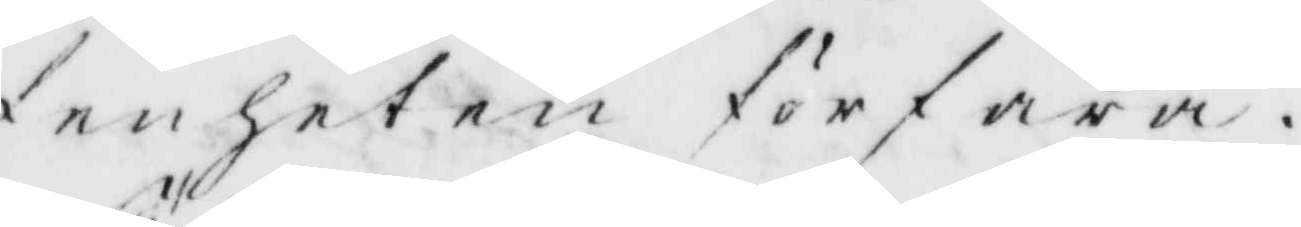fenheten förfara.
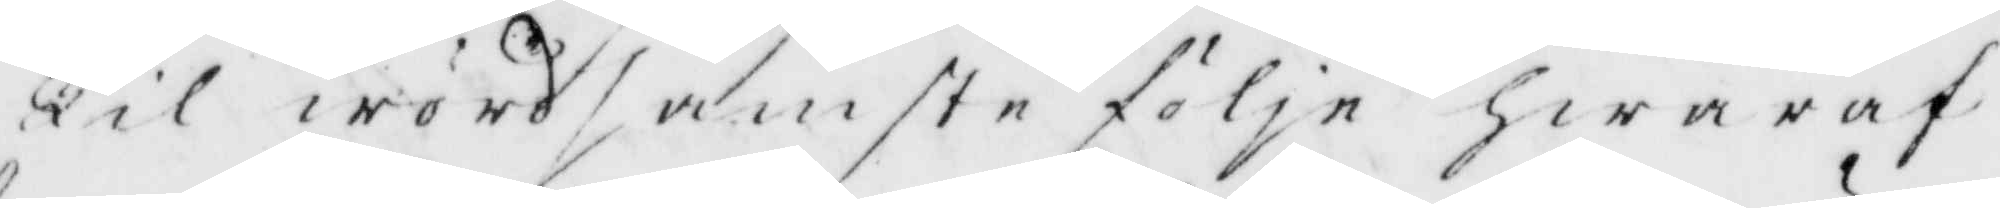Til wördsamste följe hwaraf
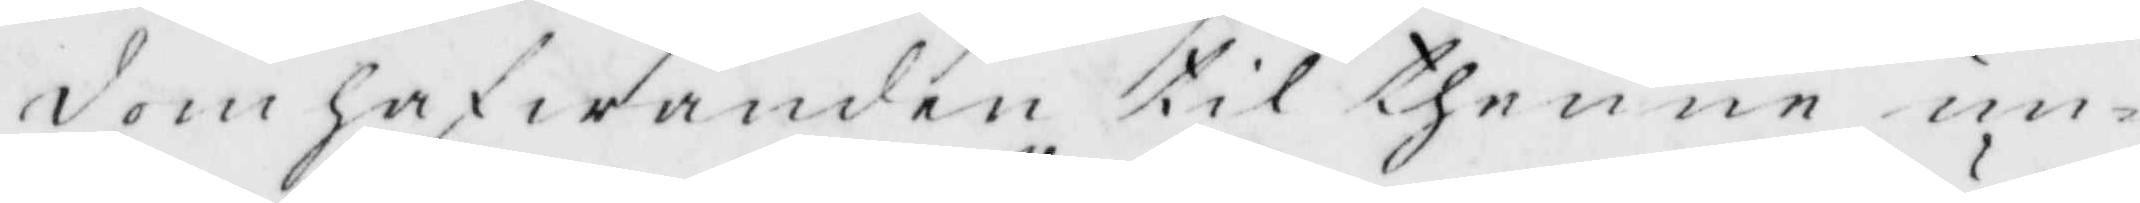domhafwanden til thenne un¬
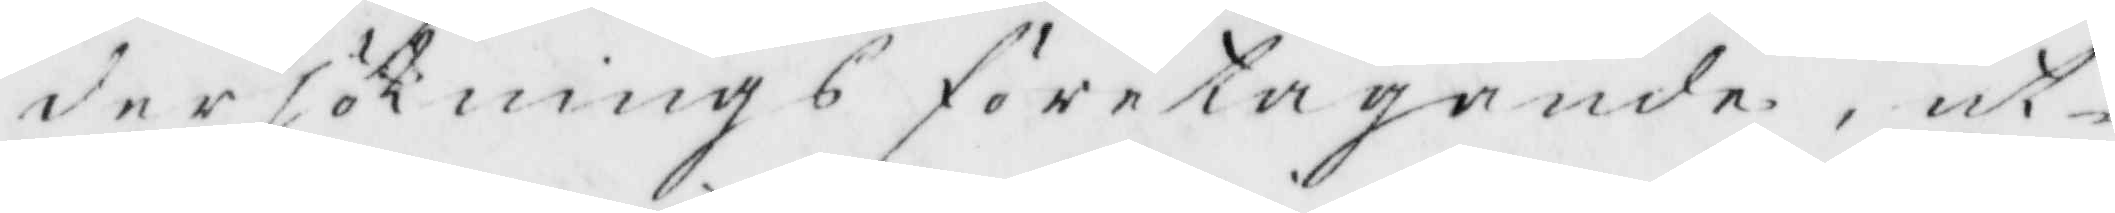dersöknings företagande, ut¬
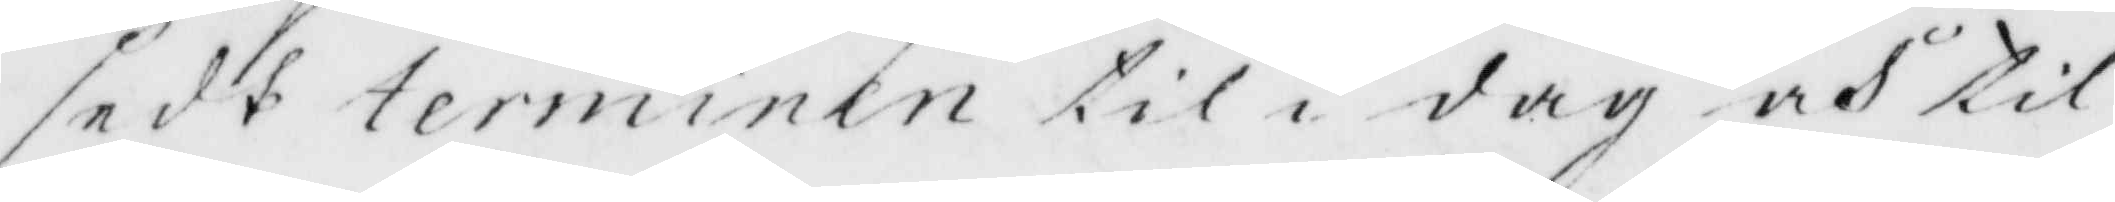sedt terminen til i dag och til
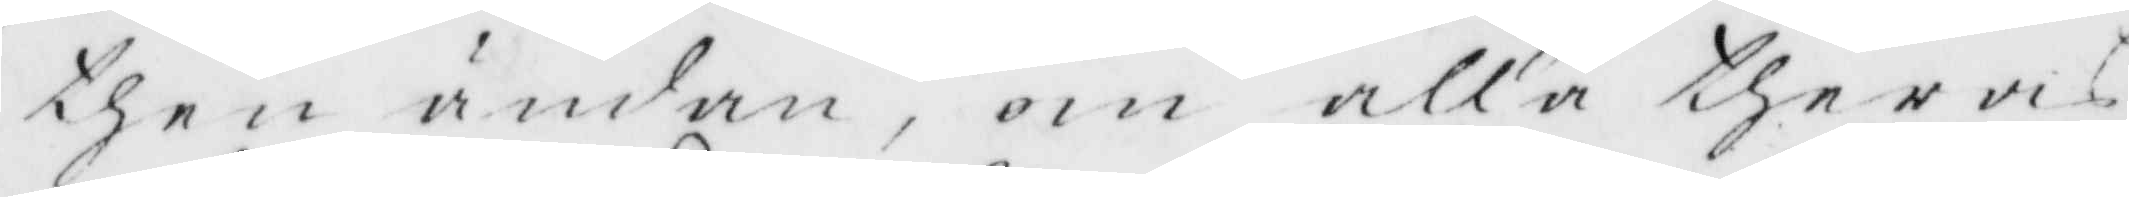then ändan, om alla thervis
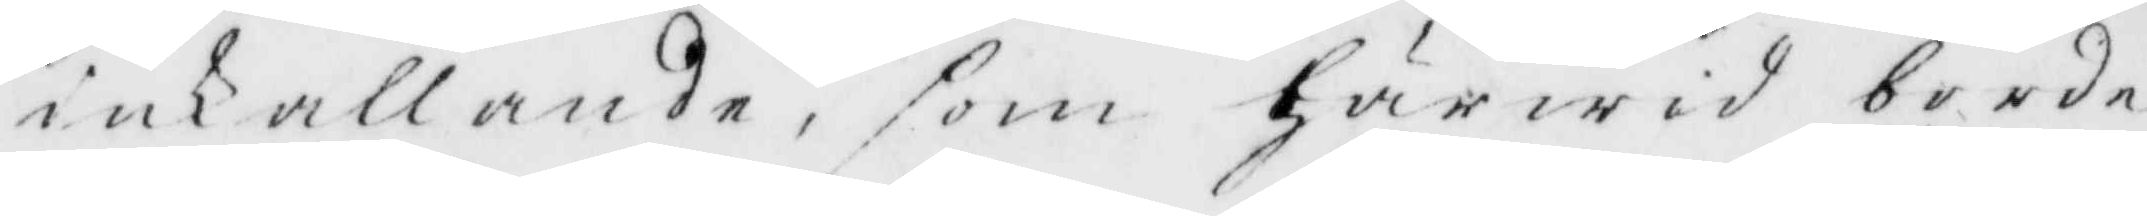inkallande, som Härwid borde
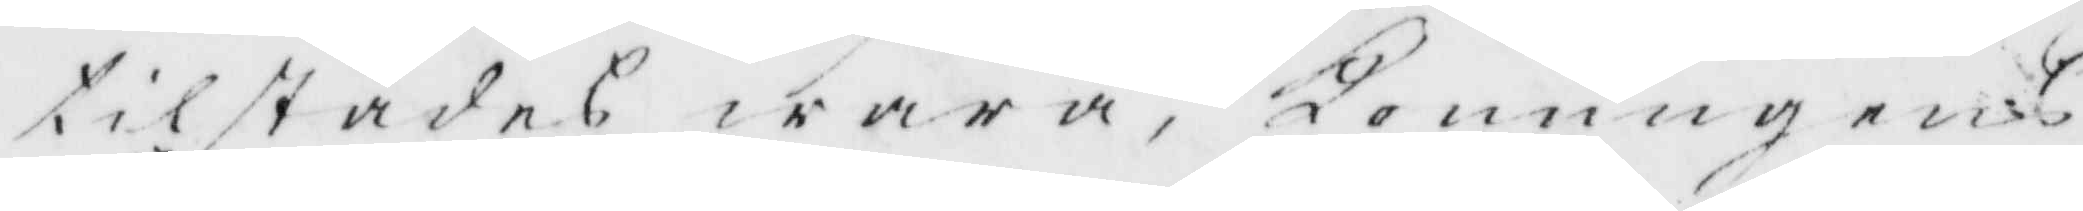tilstädes wara, Konungens
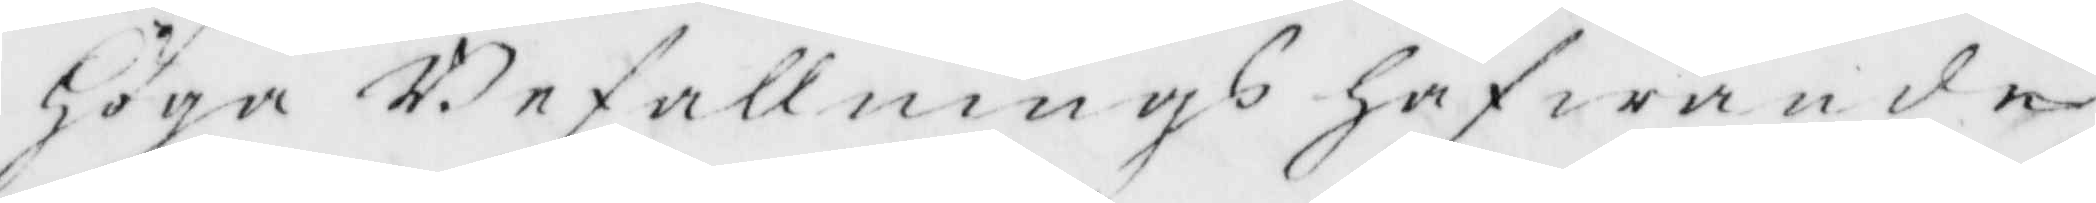Höga Befallnings hafwande
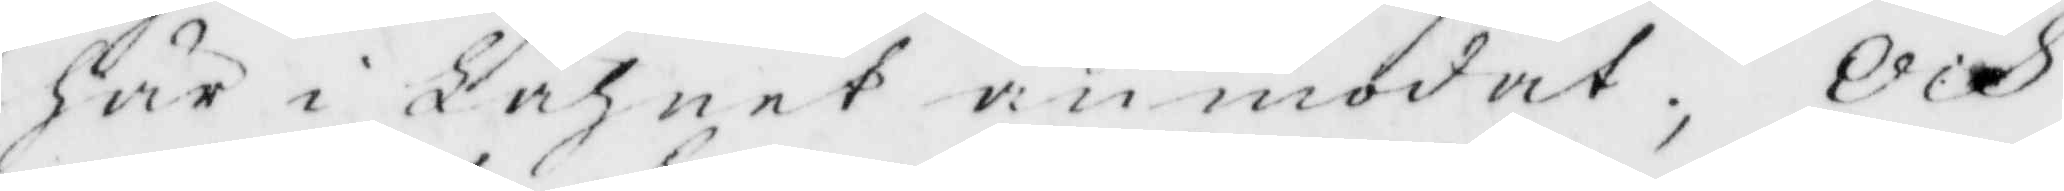här i Lähnet anmodat, Och
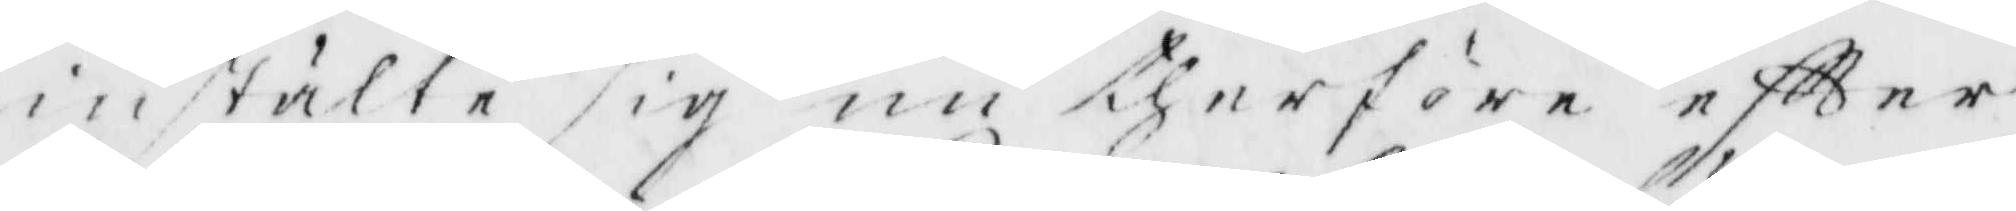inställe sig nu therföre eftter
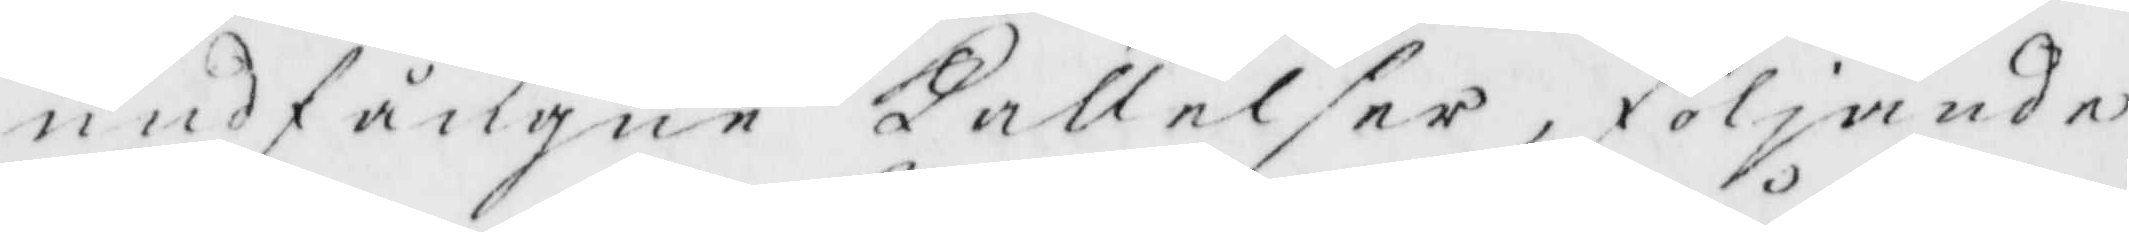undfångne Kallelser, följande
